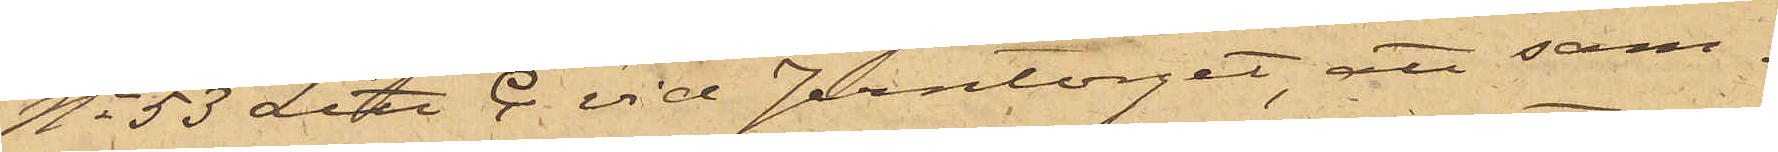No 53 Litt C. vid Jerntorget att sam¬
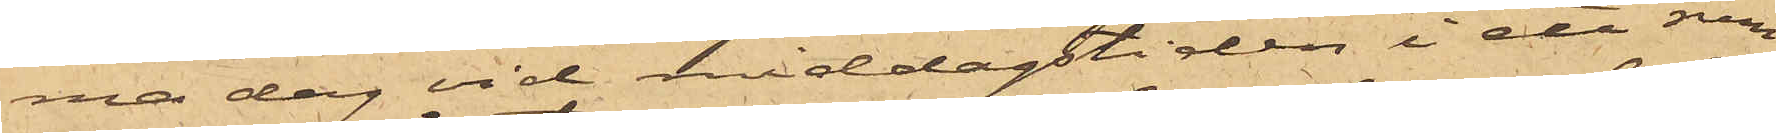ma dag vid middagstiden i ett rum
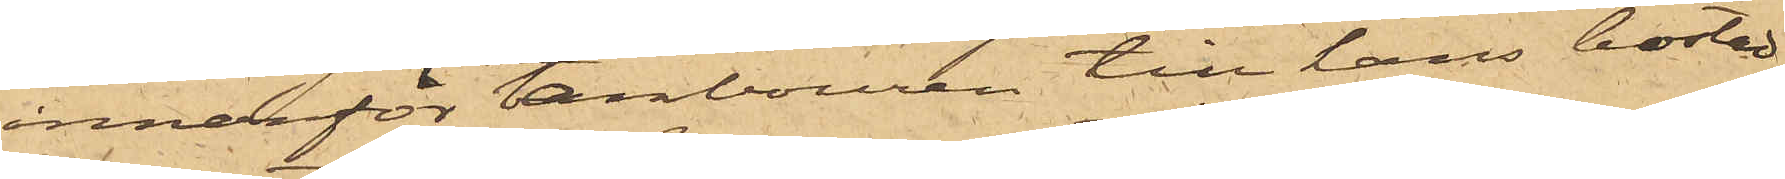innanför tambouren till hans bostad,
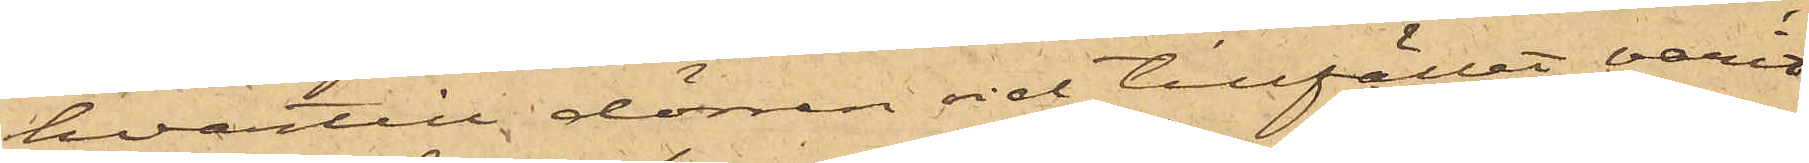hvartill dörren vid tillfället varit
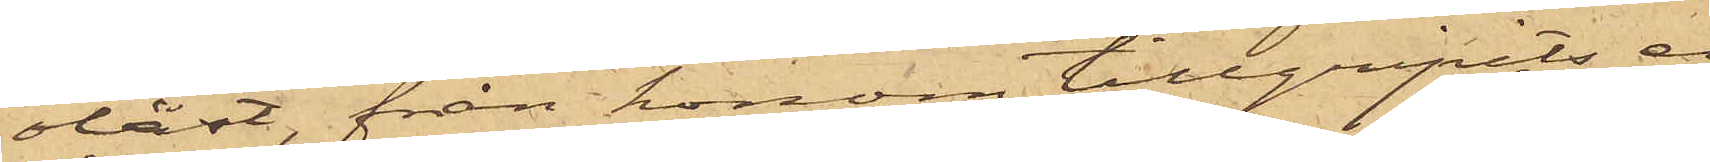olåst, från honom tillgripits en
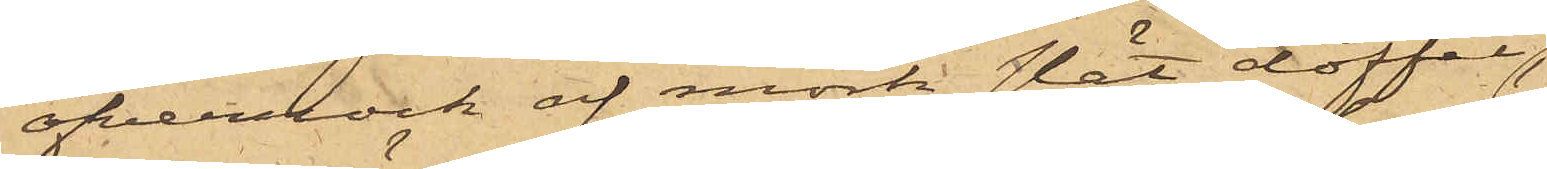öfverrock af mörk slät doffel,
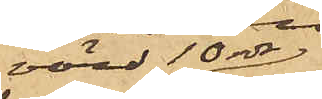värd 10 rdr,
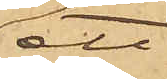ett
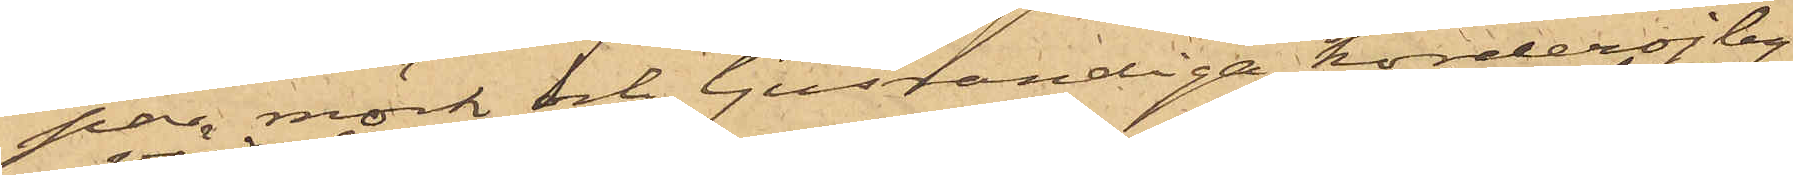par mörk och ljusrandiga korderojby¬
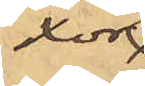xor,
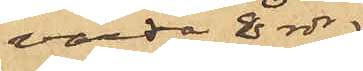värda 8 rdr
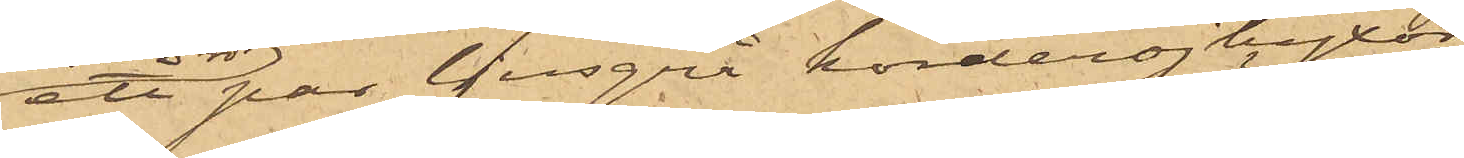ett par ljusgrå korderojbyxor
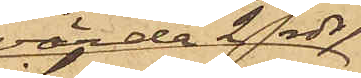värda 2 rdr
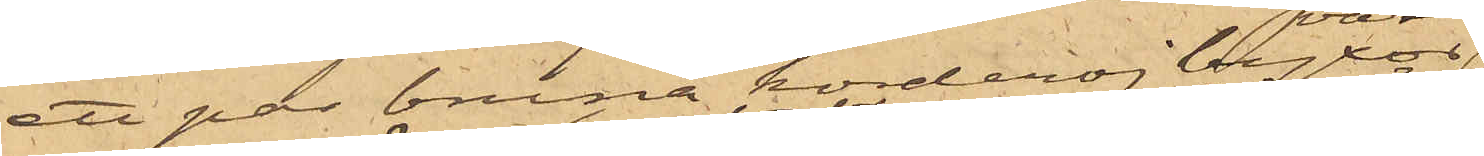ett par bruna korderojbyxor,
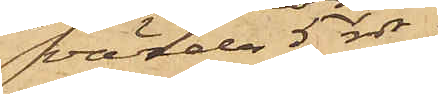värda 5 rdr
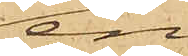en
